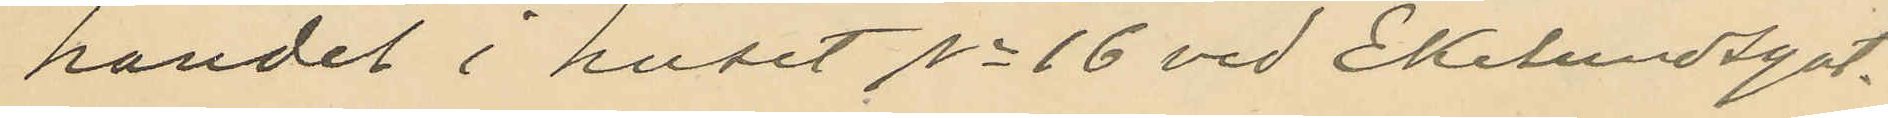handel i huset No 16 vid Ekelundsgat.
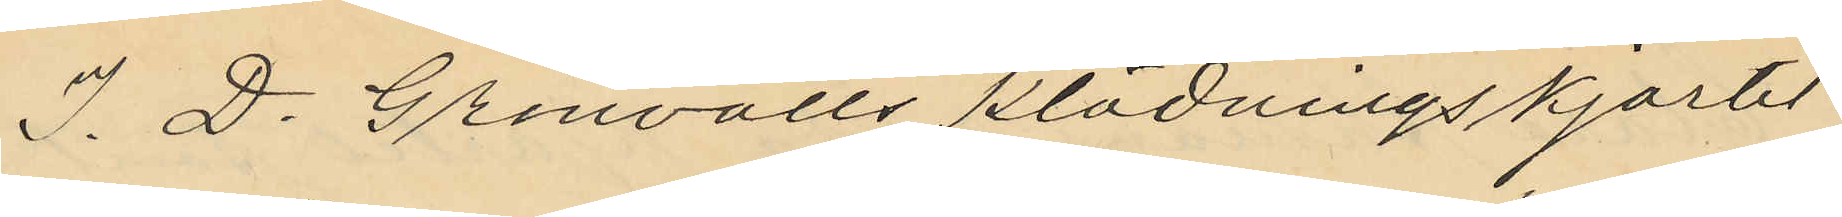I. D. Grönvalls klädningskjortel
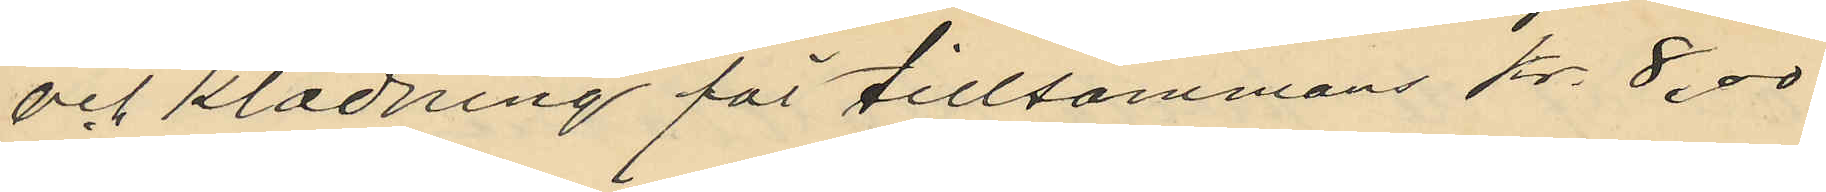och klädning för tillsammans Kr. 8.00
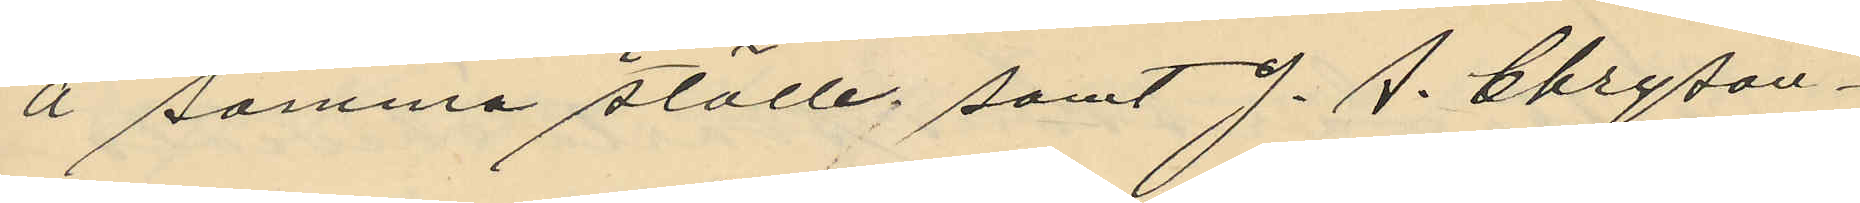å samma ställe, samt J. A. Chrysan¬
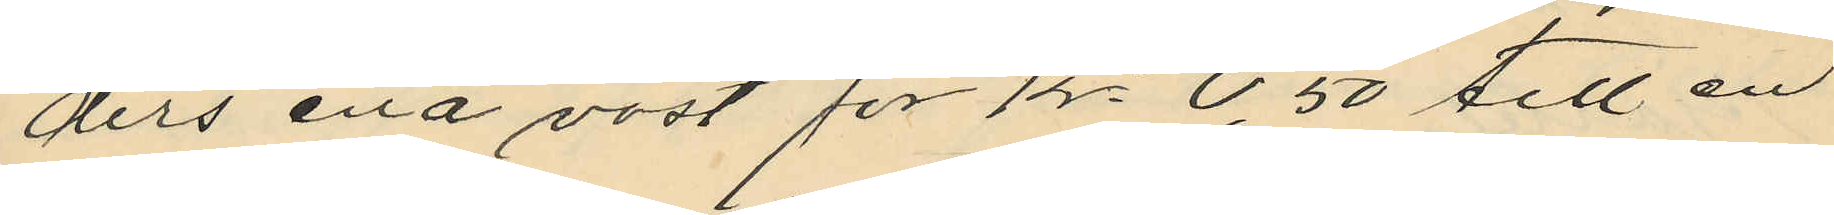ders ena väst för Kr 0,50 till en
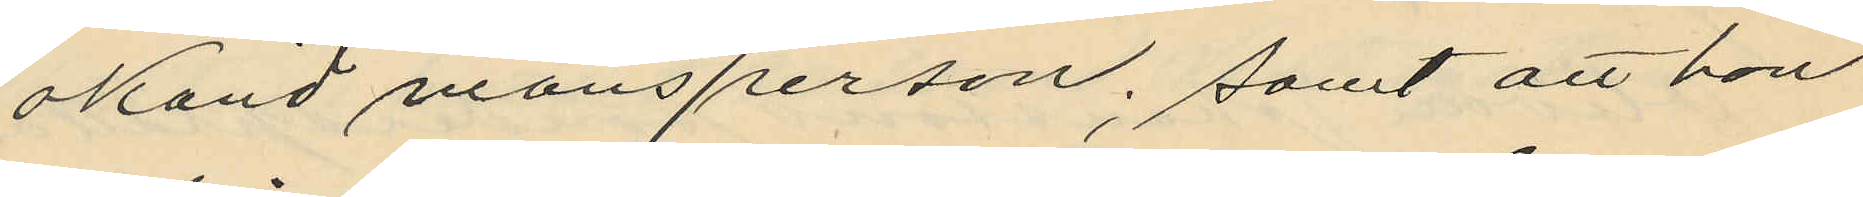okänd mansperson, samt att hon
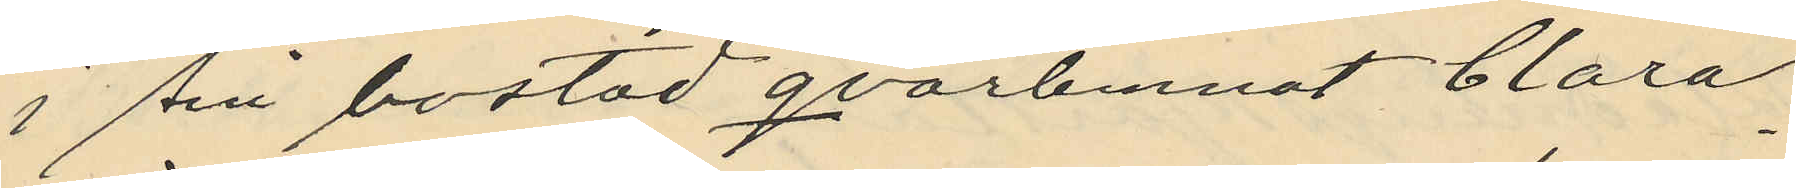i sin bostad qvarlemnat Clara
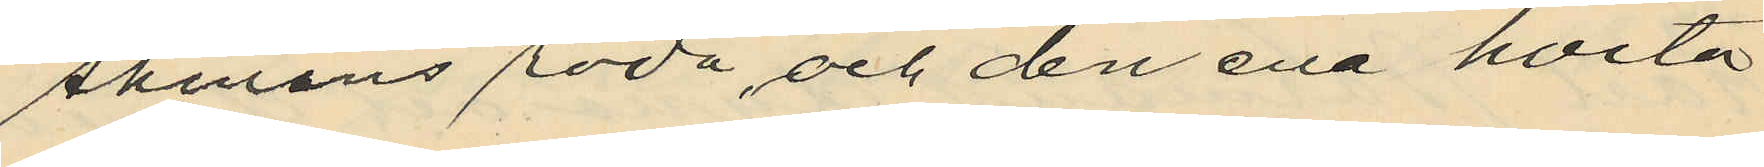Åhmans röda, och den ena hvita
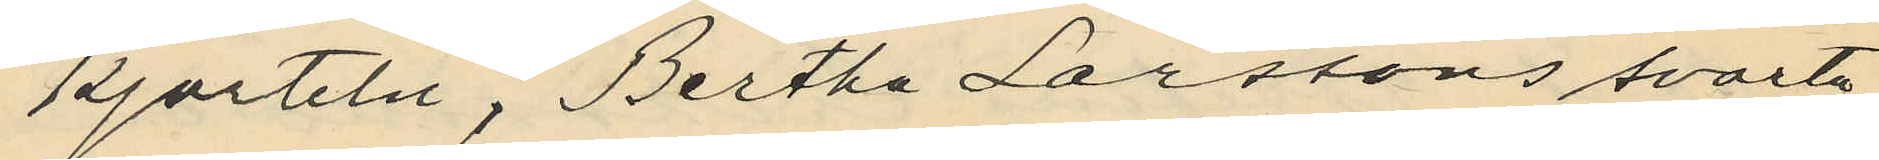kjorteln, Bertha Larssons svarta
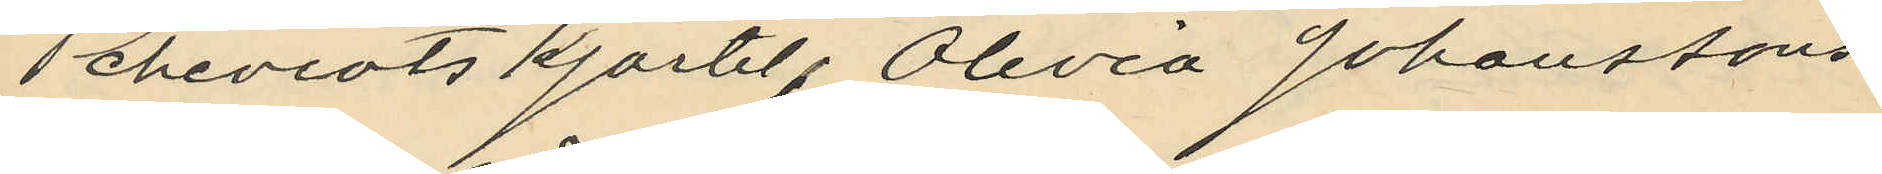cheviotskjortel, Olivia Johanssons
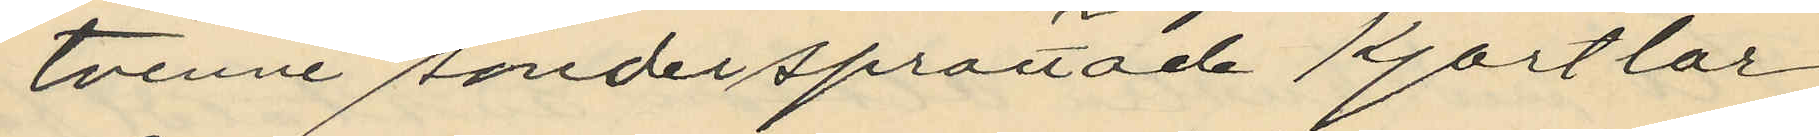tvenne söndersprättade kjortlar
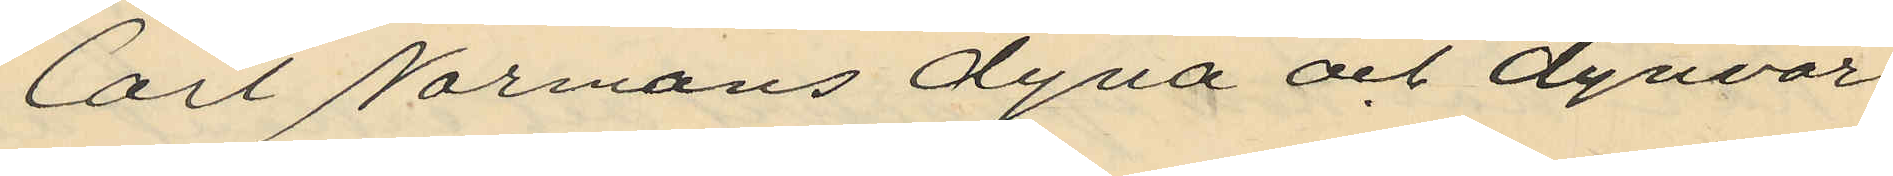Carl Normans dyna och dynvar
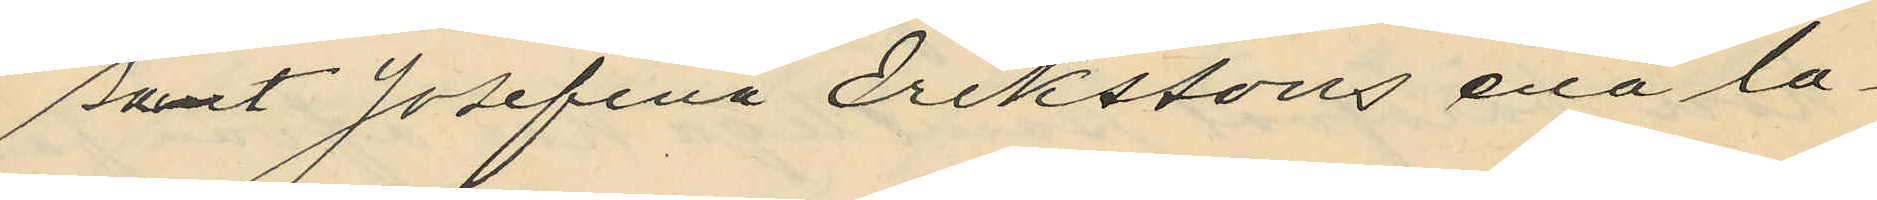samt Josefina Erikssons ena la¬
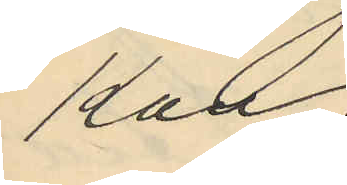kan.
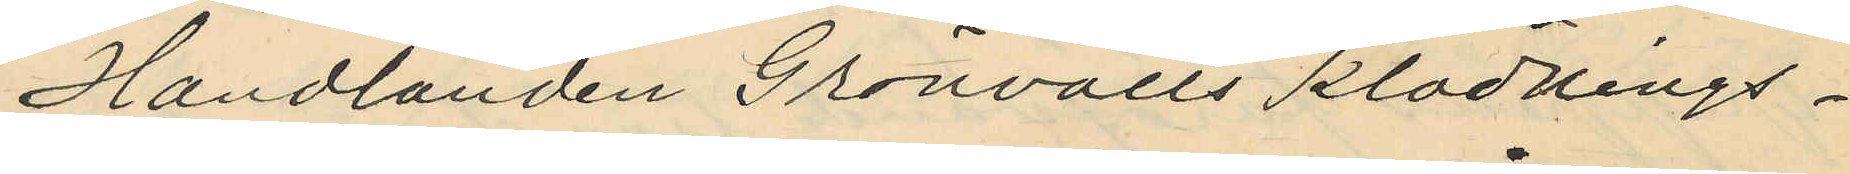Handlanden Grönvalls klädnings¬
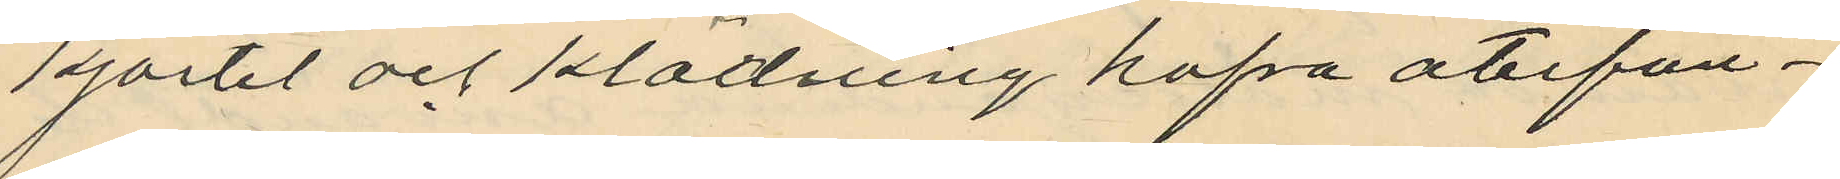kjortel och klädning hafva återfun¬
